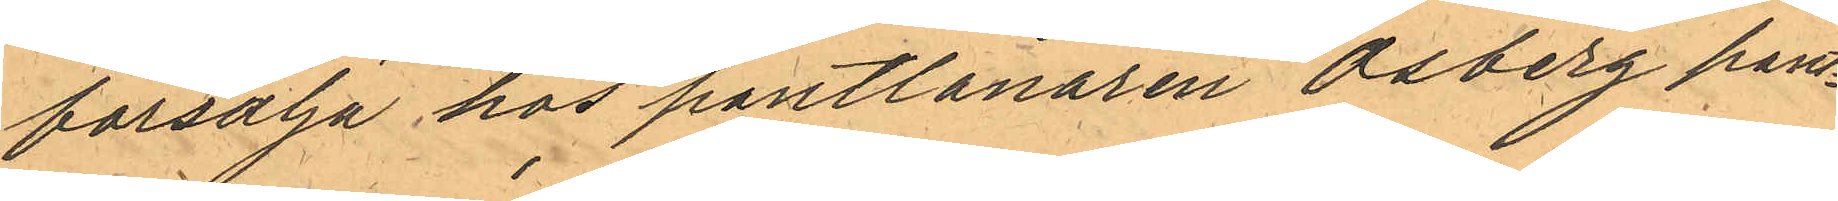försälja hos pantlånaren Osberg pant¬
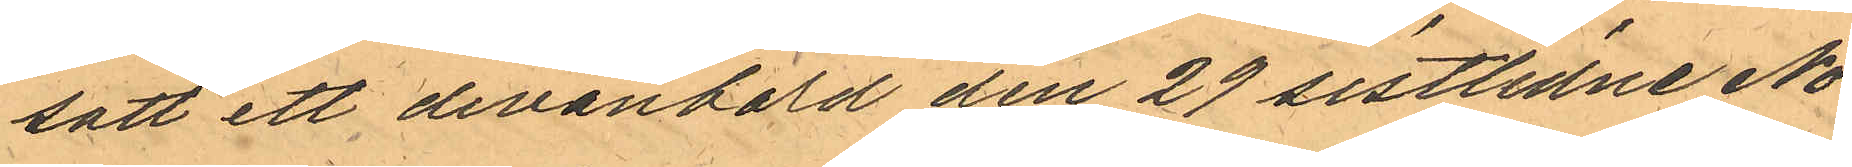satt ett divanbord den 29 sistlidne No¬
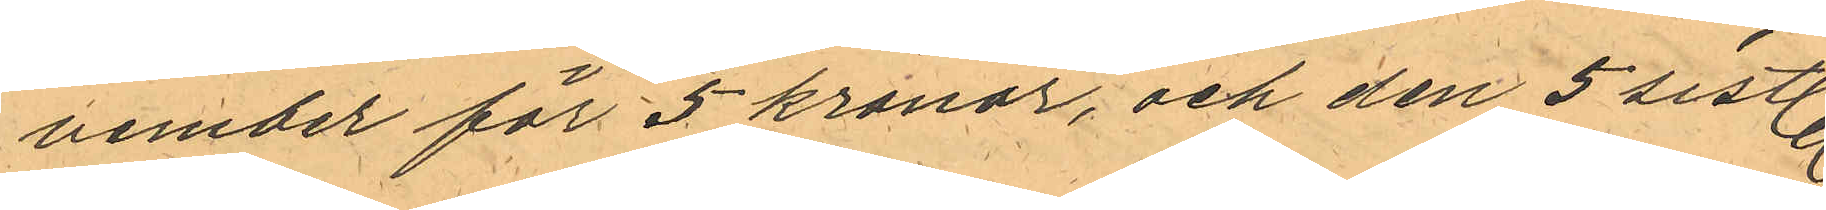vember för 5 kronor, och den 5 sistl.
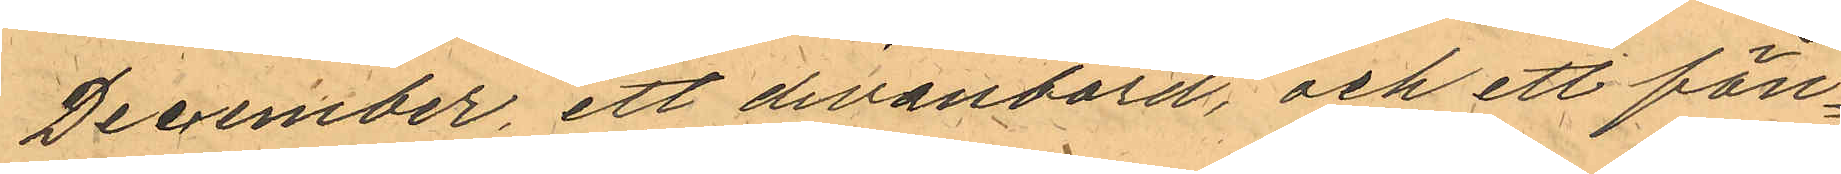December, ett divanbord, och ett fön¬
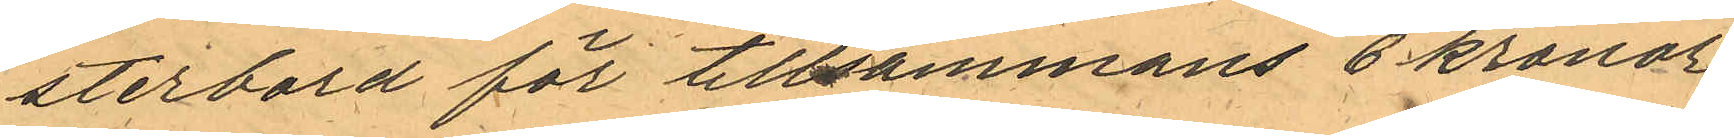sterbord för tillsammans 6 kronor,
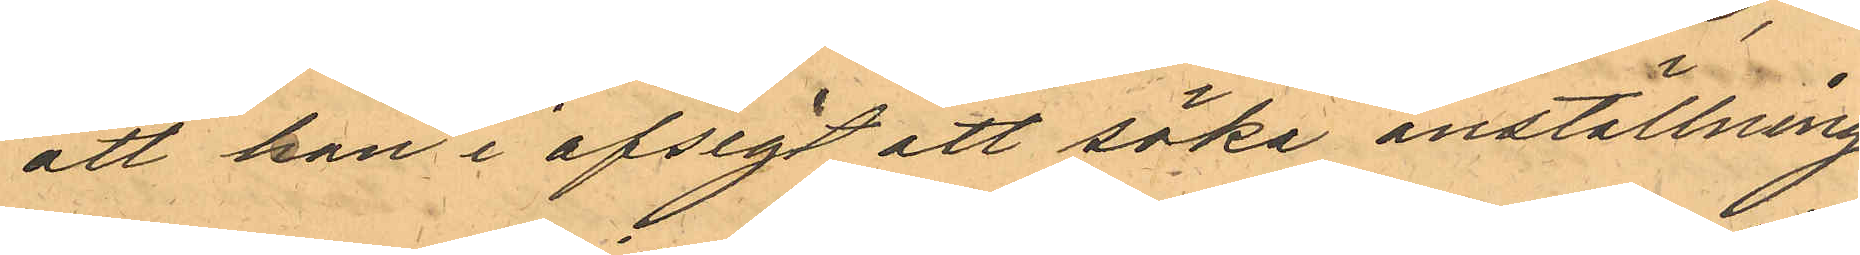att han i afsigt att söka anställning
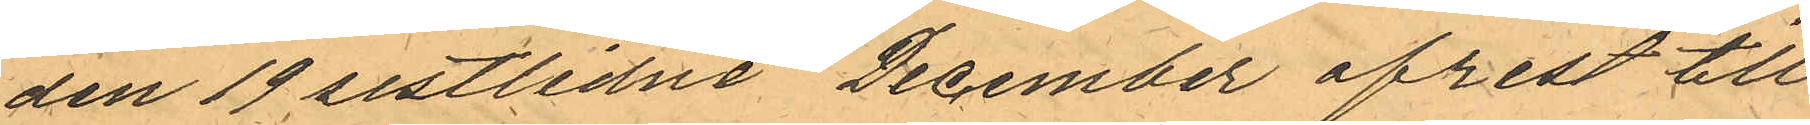den 19 sistlidne December afrest till
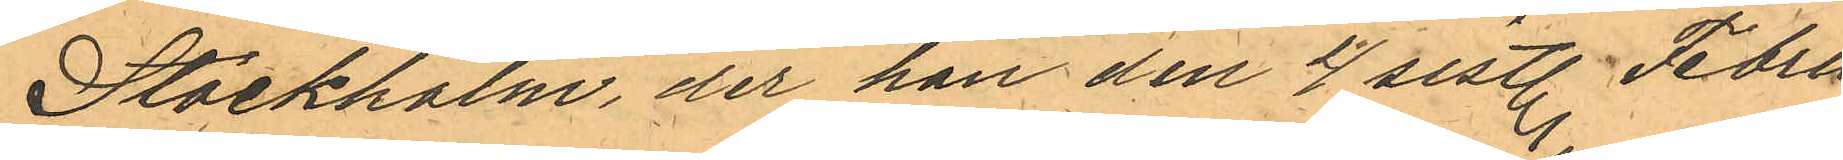Stockholm, der han den 4 sistl. Febru¬
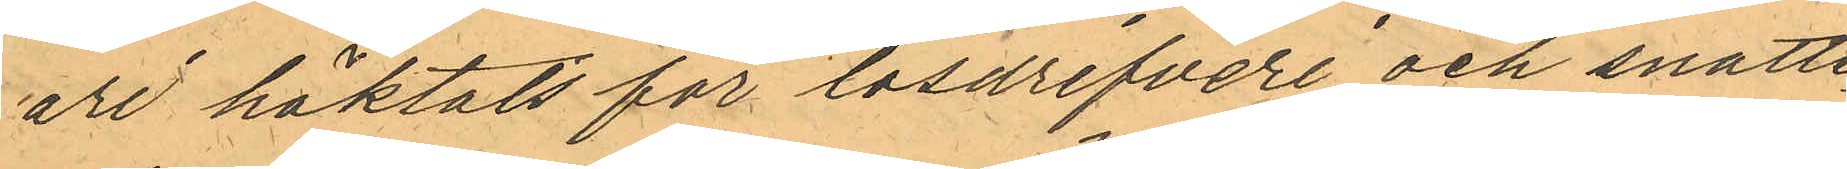ari häktats för lösdrifveri och snatte¬
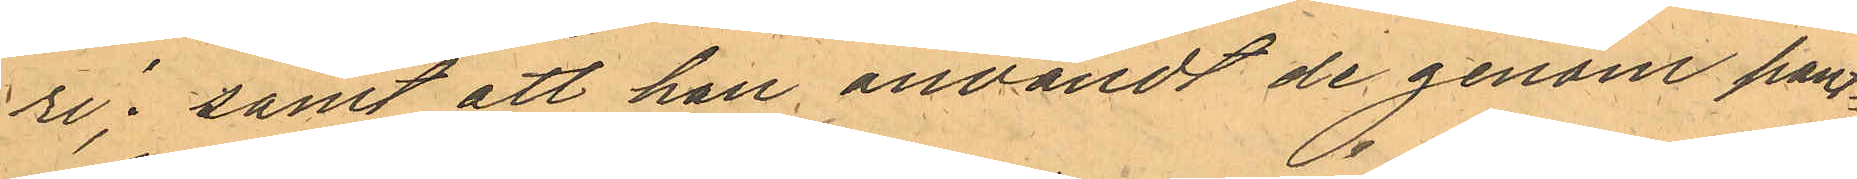ri; samt att han användt de genom pant¬
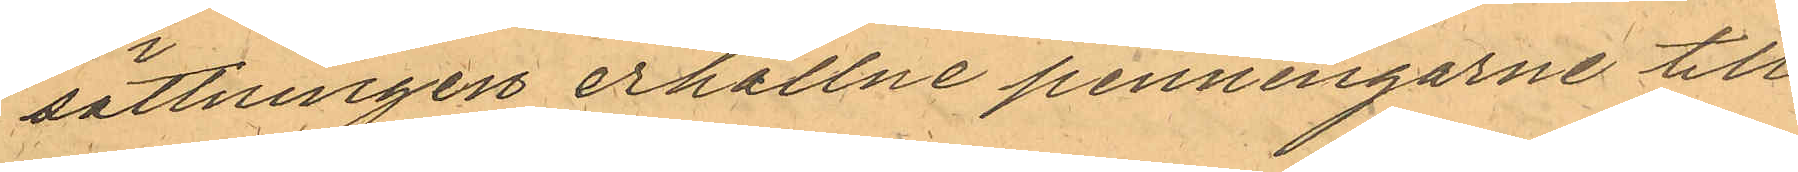sättningen erhållne penningarne till
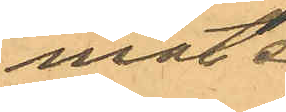mat.
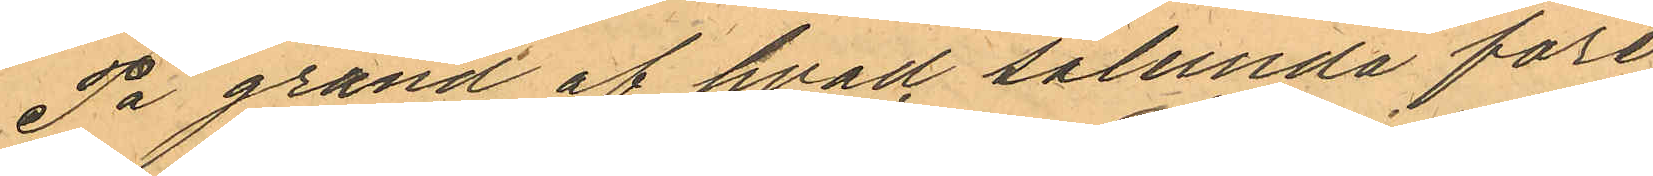På grund af hvad sålunda före¬
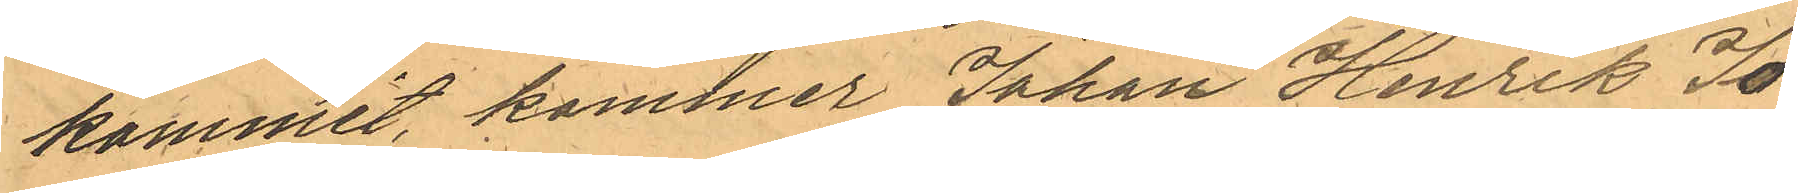kommit, kommer Johan Henrik Jo¬
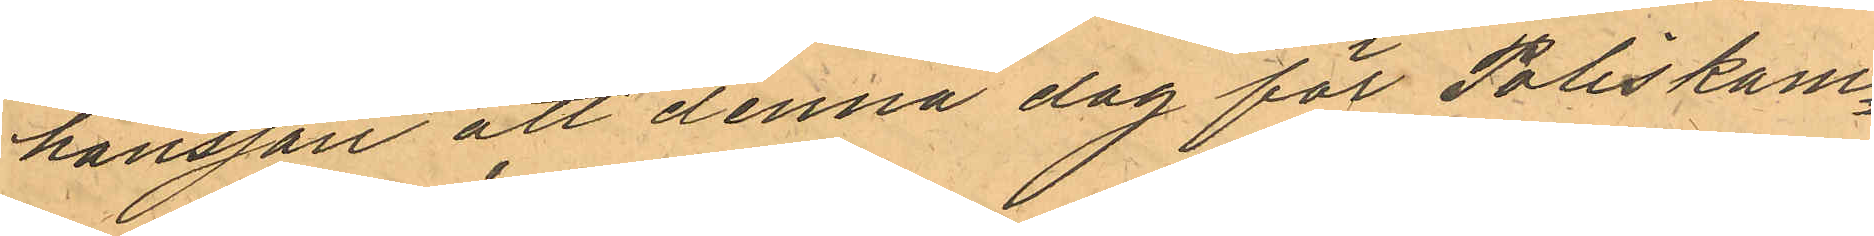hansson att denna dag för Poliskam¬
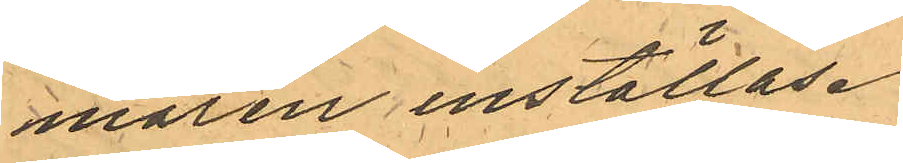maren inställas.
